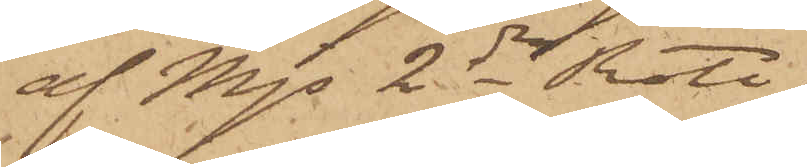af Mjs 2dra Rote,
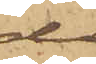då
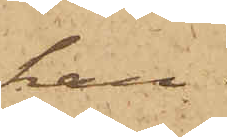han
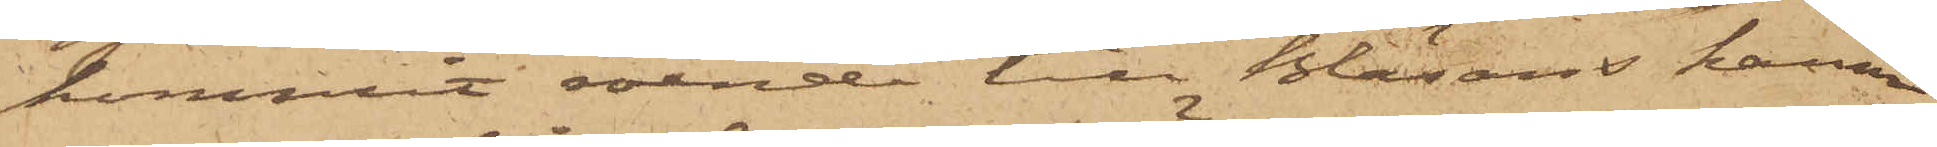kommit roende till Bläsans hamn
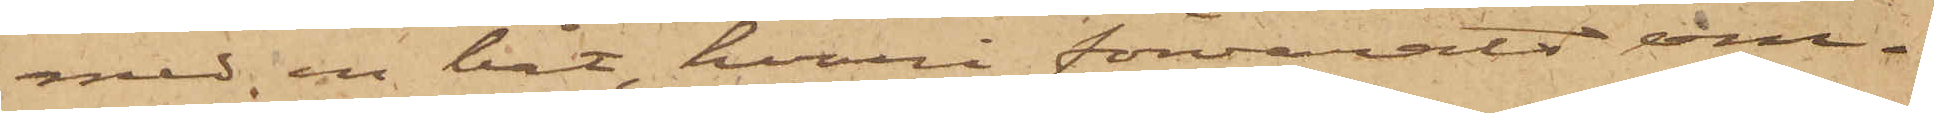med en båt, hvari förvarats om¬
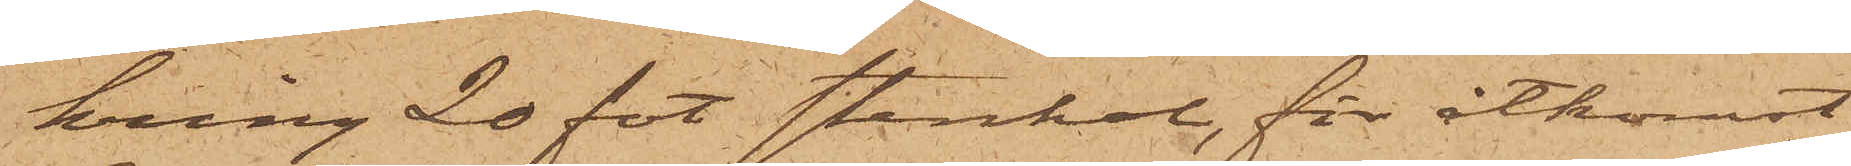kring 20 fot stenkol, för åtkomst
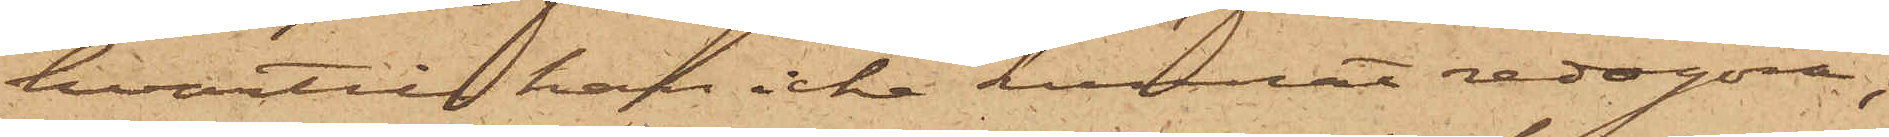hvartill han icke kunnat redogöra;
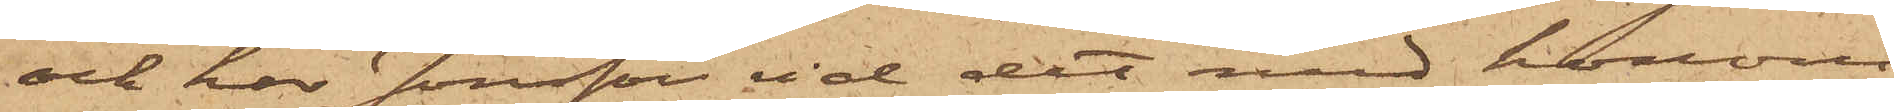och har Jonsson vid det med honom
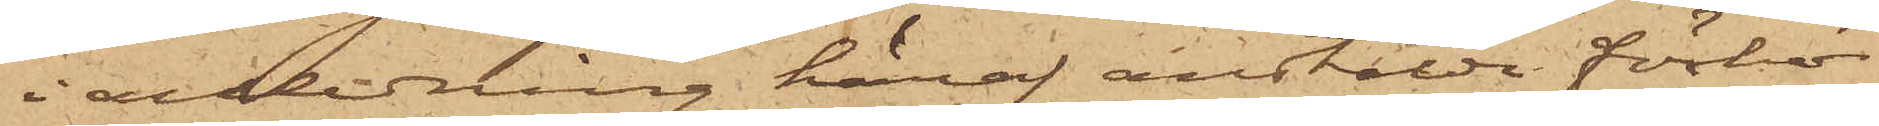i anledning häraf anstälda förhör
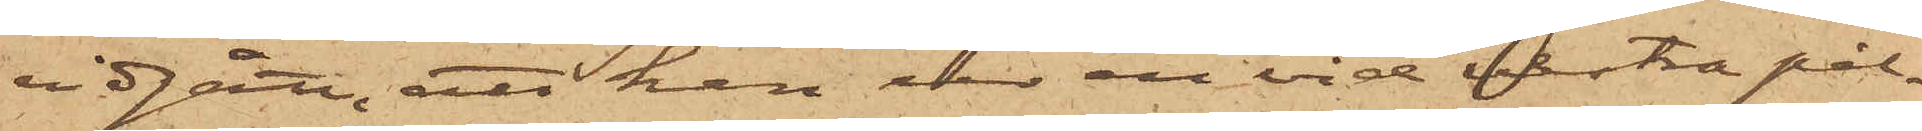vidgått, att han ur en vid vestra pål¬
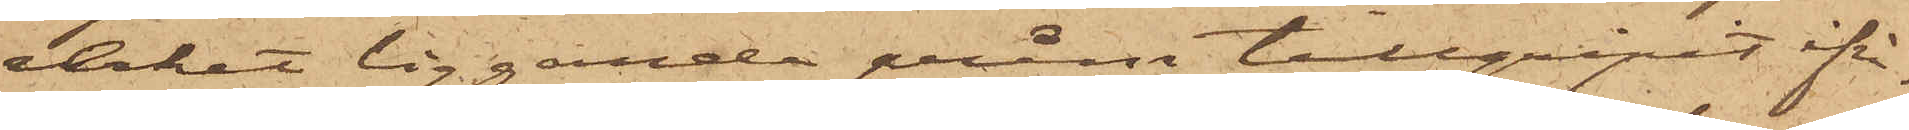verket liggande pråm tillgripit ifrå¬
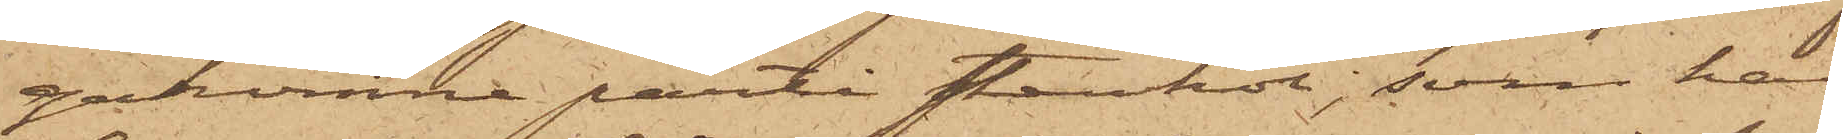gakomne parti stenkol, som han
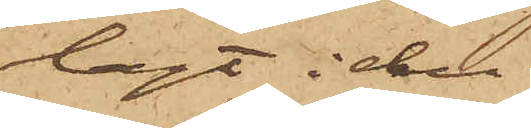lagt i den
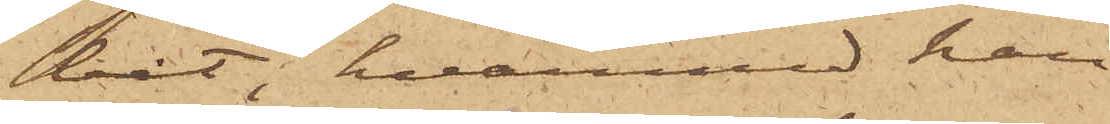båt, hvarmed han
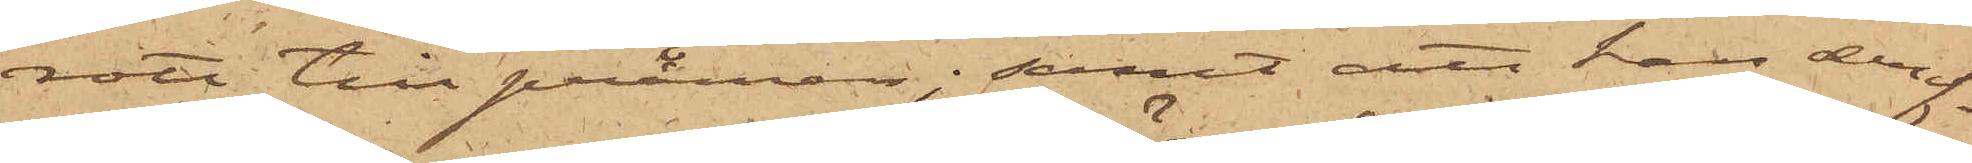rott till pråmen; samt att han deref¬
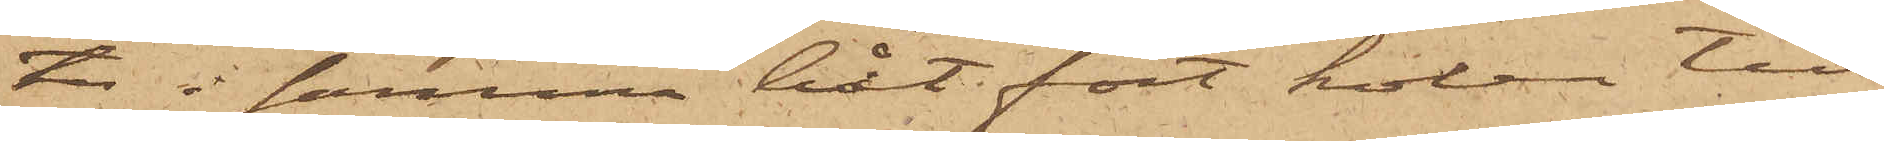ter i samma båt fört kolen till
